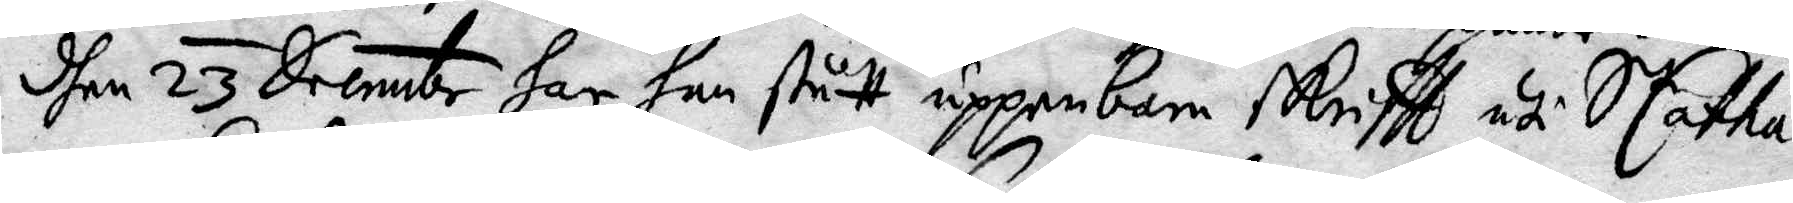den 23 Decembr har han stått uppenbane skrifft uti S Catha¬
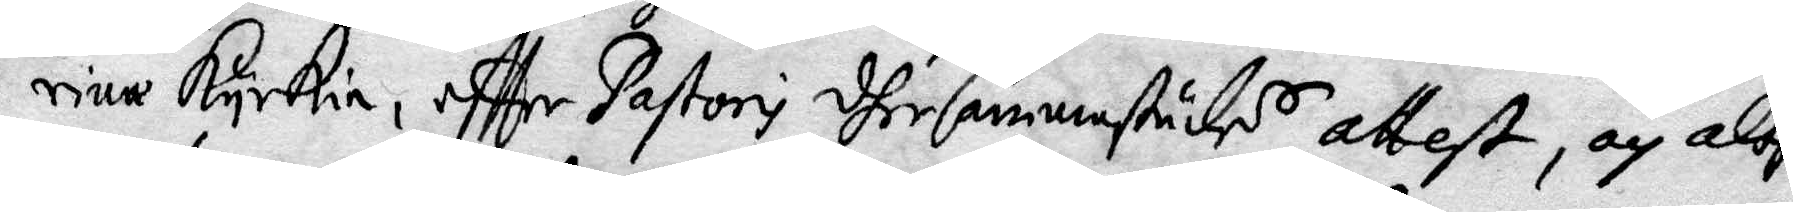rina Kyrkia, effter Pastori dhersammanstädes attest, och altså
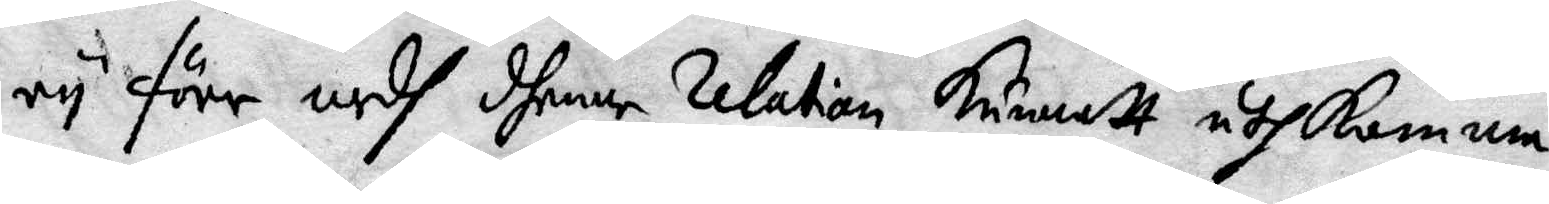ey förr medh dhenne ralation kunnatt uthkomma.
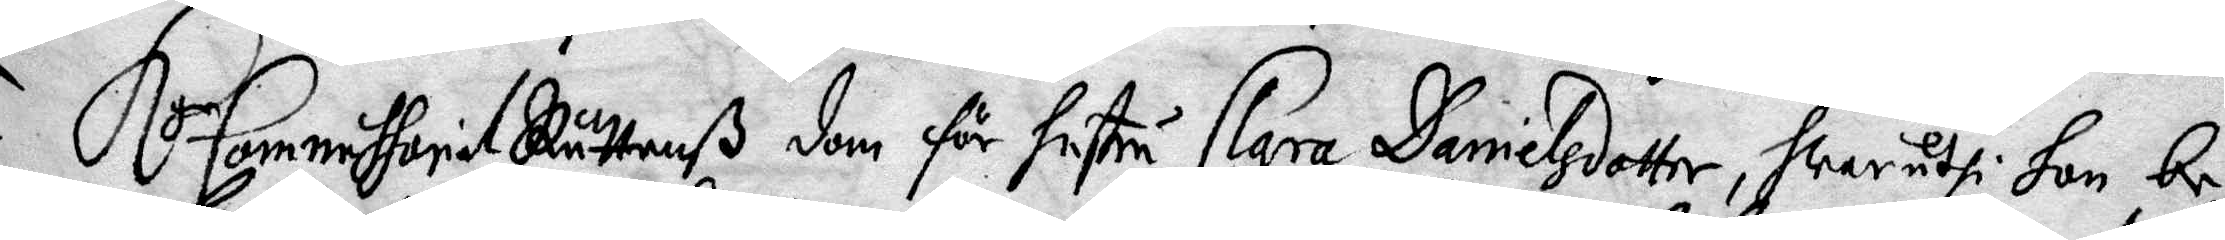K Commissorial Rättenß dom för hustru Clara Danielsdotter, hwaruthi hon be—
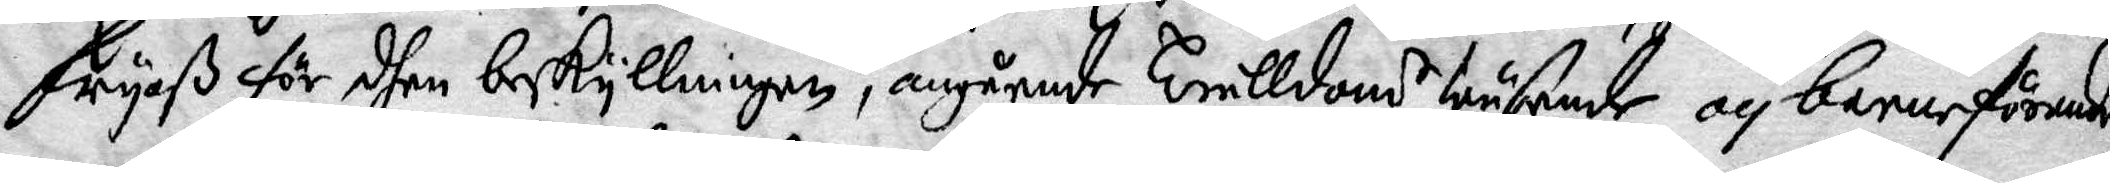fryaß för dhen beskyllningen, angående Trolldoms wäsende och barnaförande
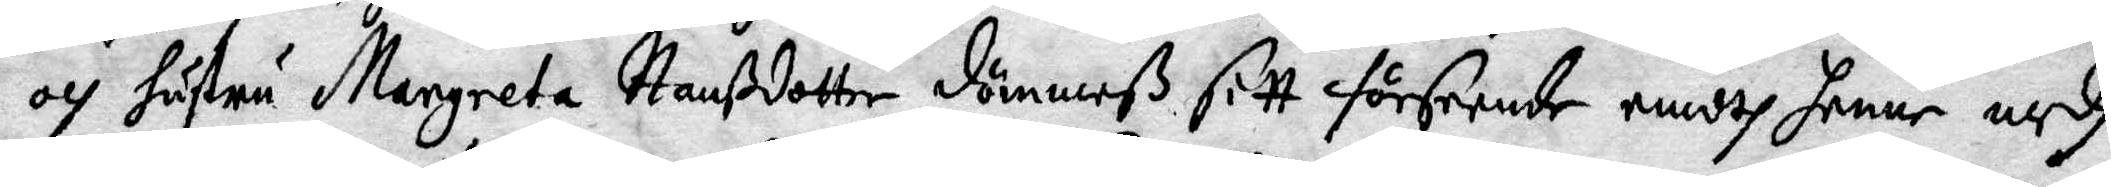och hustru Margareta Hanßdotter dömmeß sitt förseende medh henne ,edh
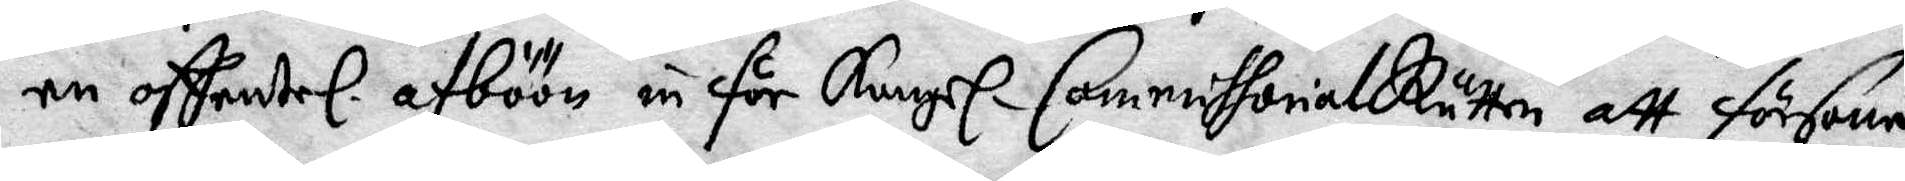en offentel. afböön inför Kongl. Commissorial Rätten att försona.
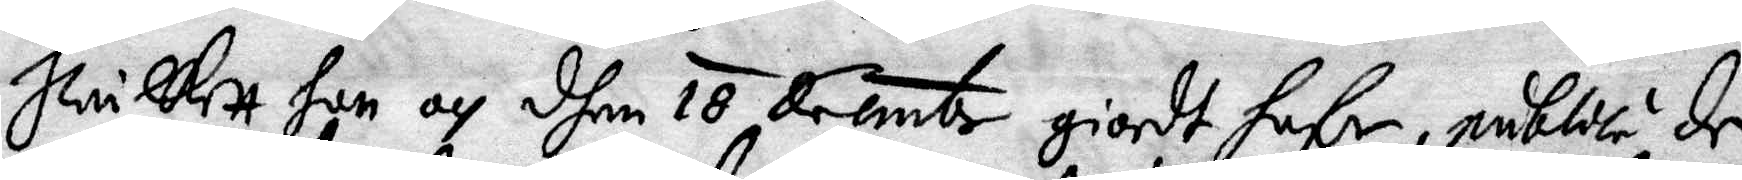hwilkett hon och dhen 18 decembr giord hafe, publice de¬
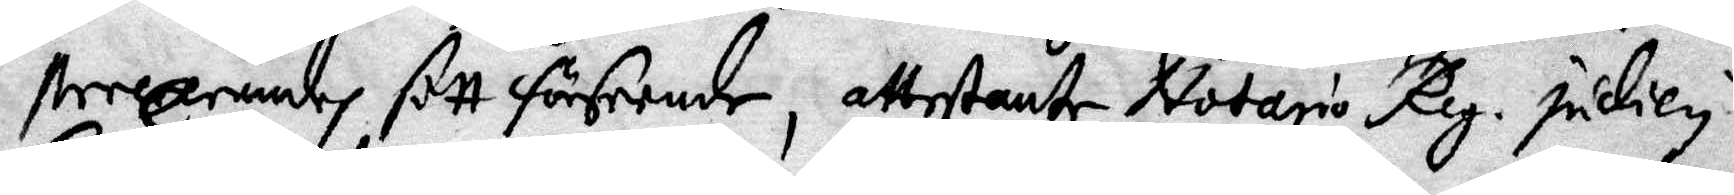sterandes sitt förseende, attestante Notario Reg. judicy
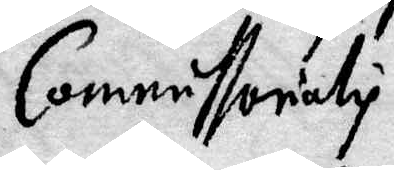Commissorialis.
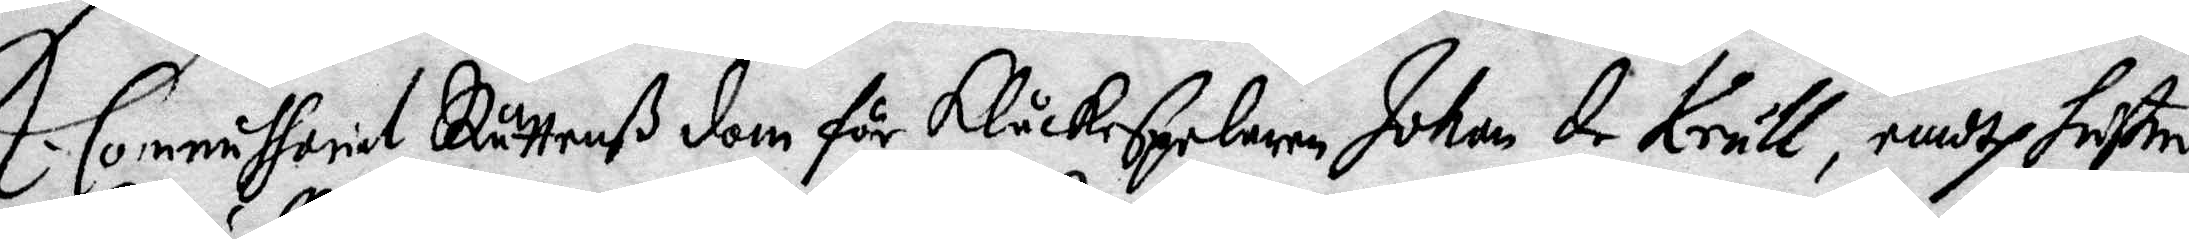K. Commissorial Rättenß dom för Klåckspelaren Johan de Krull, emodh hustru
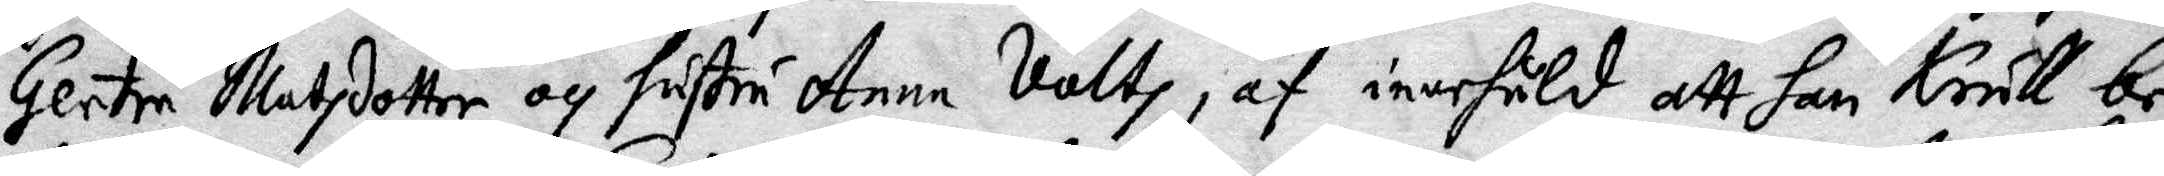Gertru Matzdotter och hustru Anna Valtz, af innehåld att han Krull be¬
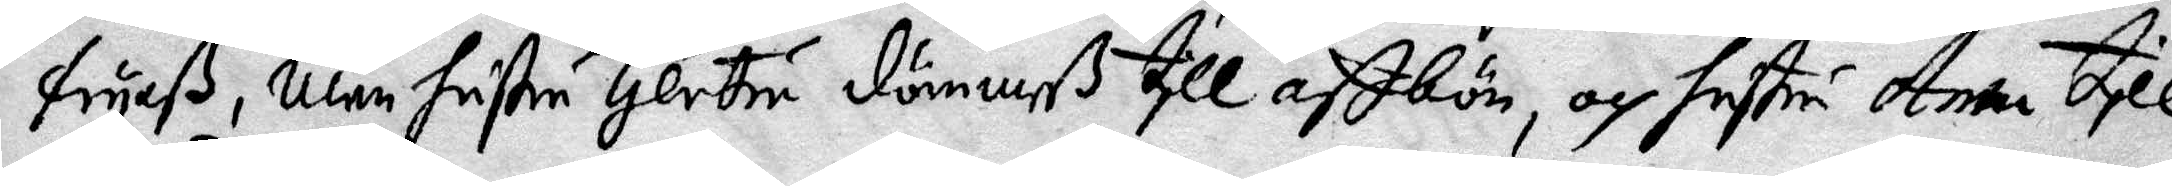fryaß, men hustru Gertru dömmeß till affbön, och hustru Anna till
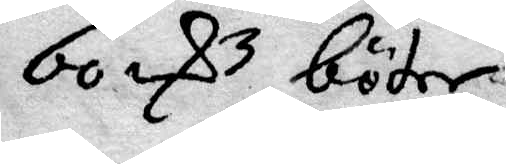60 rsz böter.
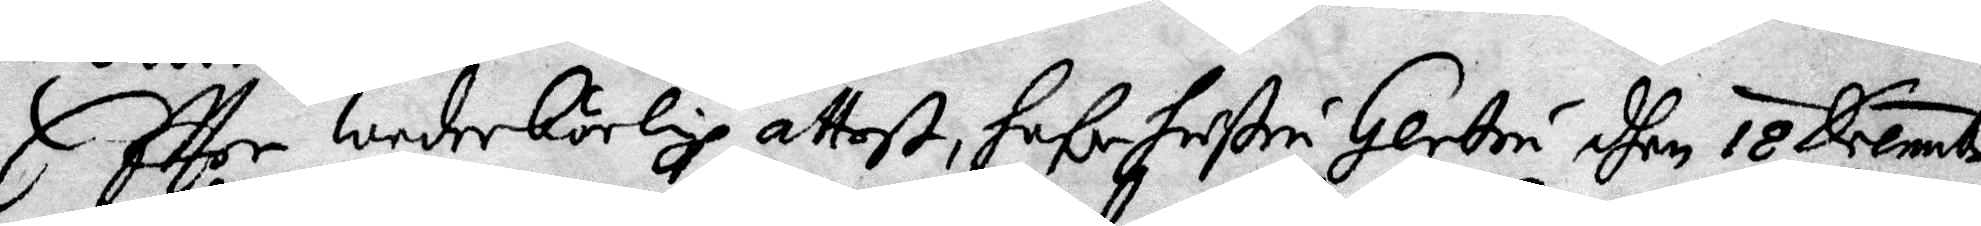Effter wederbörlige attesthafe hustru Gertru dhen 18 Decembr
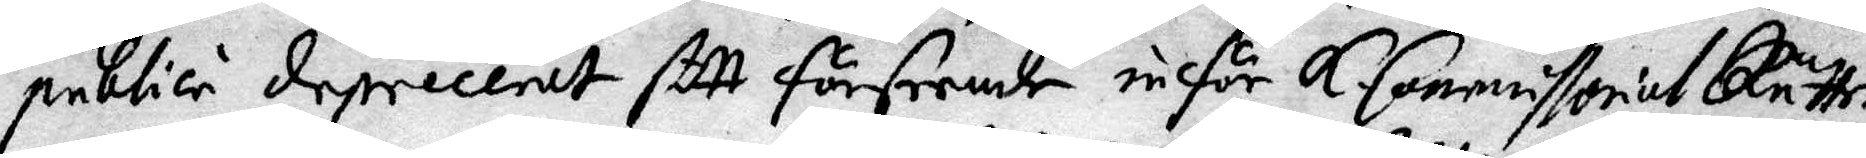publici depeceent sitt förseende inför K. Commissorial Rätten
